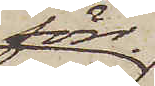förr
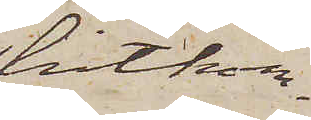hitkom¬
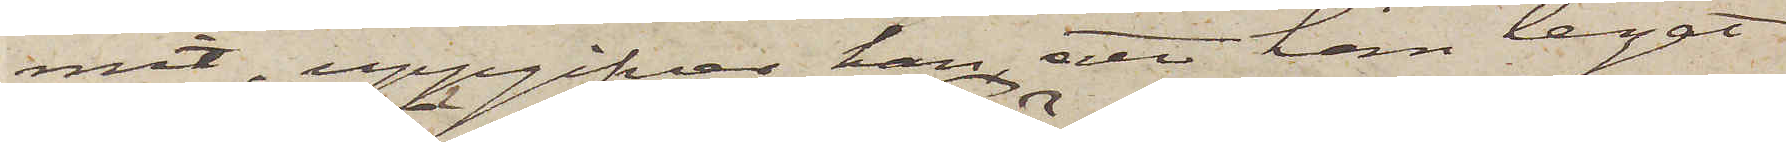mit, uppgifver han, att han legat
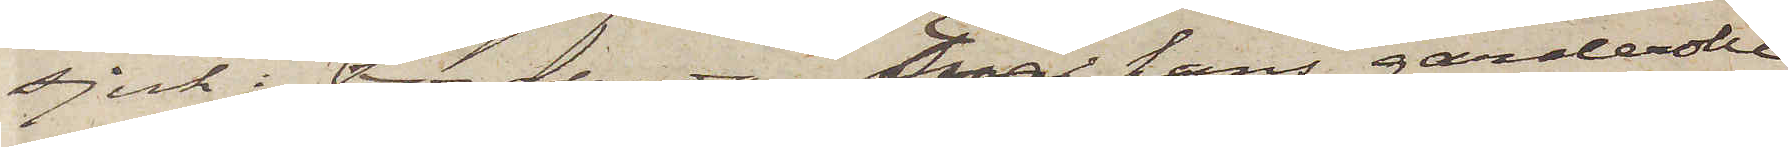sjuk i Töreboda. Enär hans garderobe
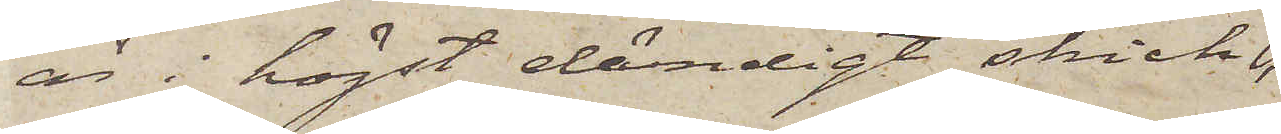är i högst eländigt skick,
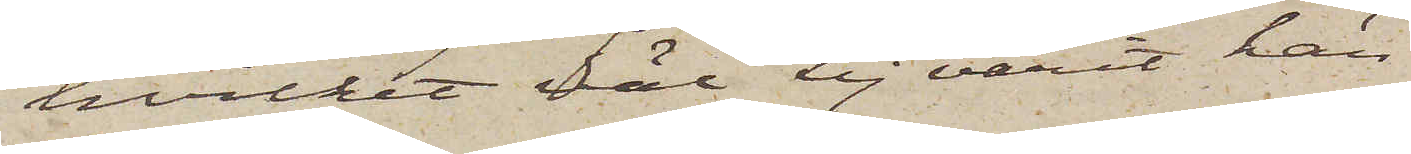hvilket väl ej varit hän¬
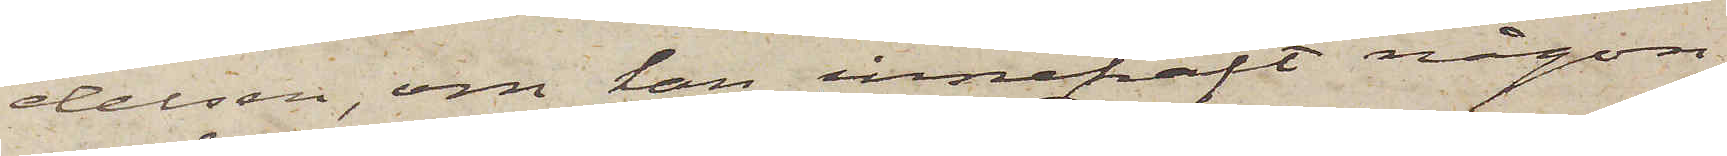delsen, om han innehaft någon
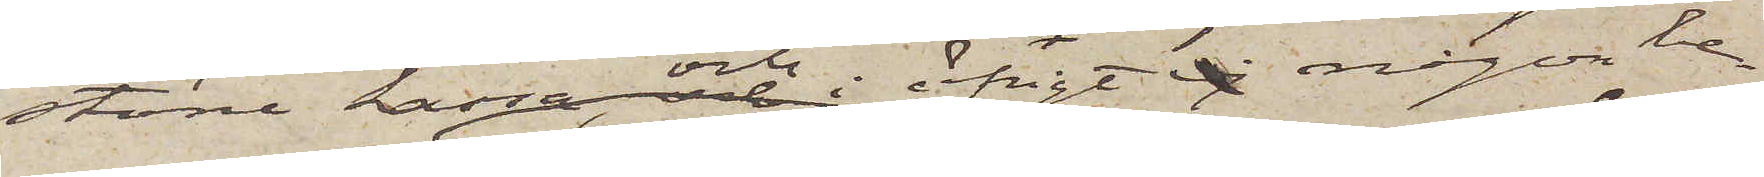större kassa och i öfrigt ej någon be¬
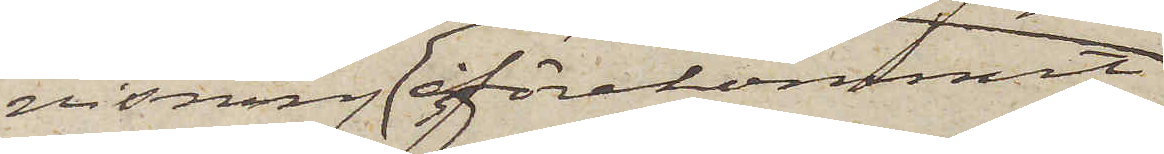visning förekommit
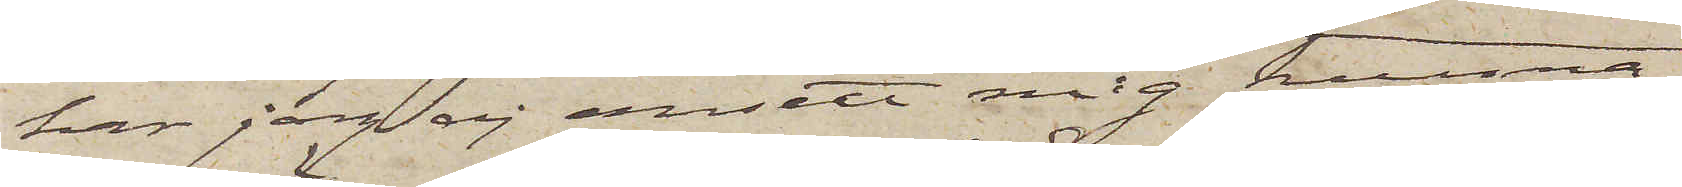har jag ej ansett mig kunna
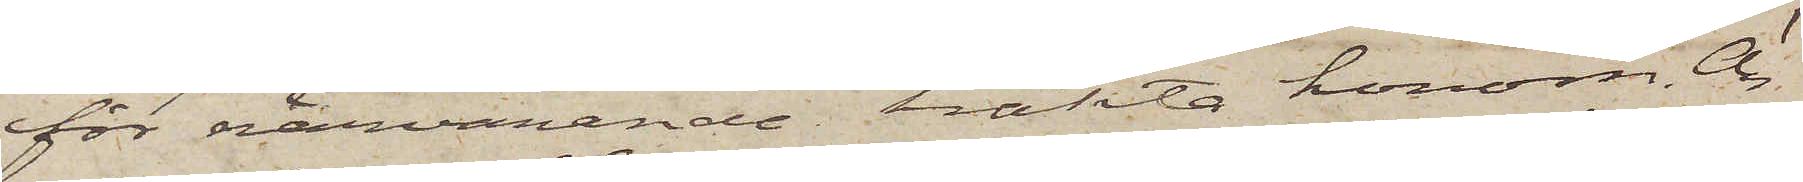för närvarande häkta honom. Ön¬
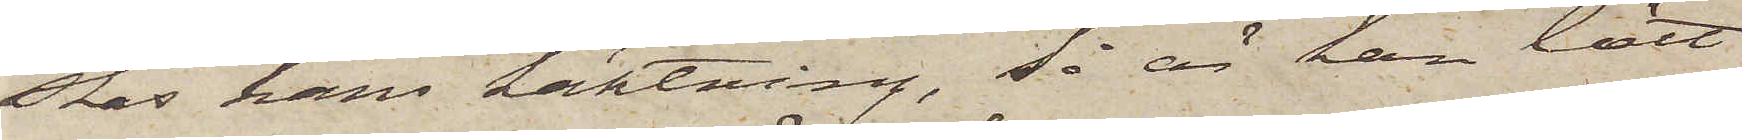skas hans häktning, så är han lätt
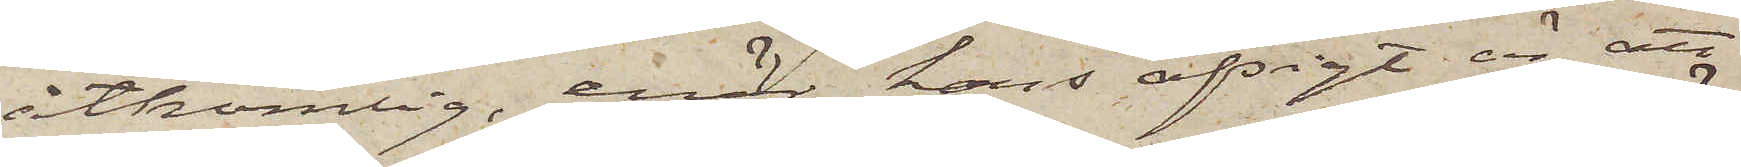åtkomlig, enär hans afsigt är att
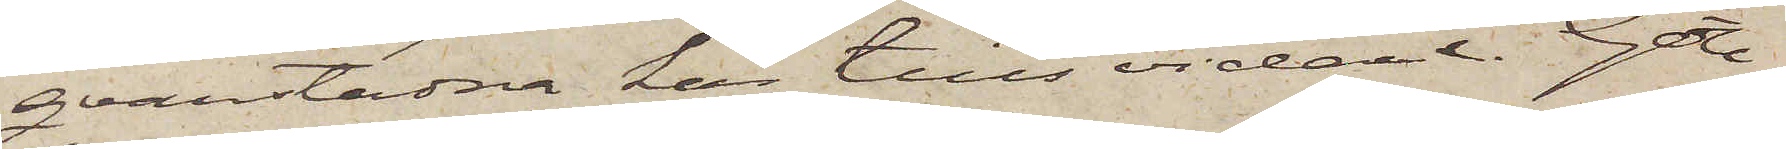qvarstadna här tills vidare. Göte¬
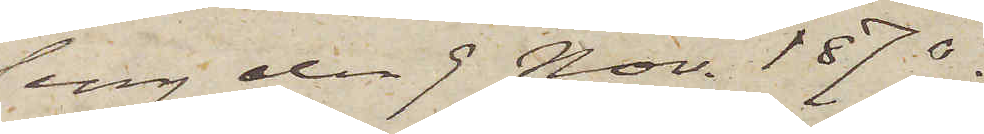borg den 9 Nov. 1870.
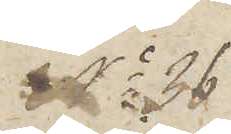 No 36
